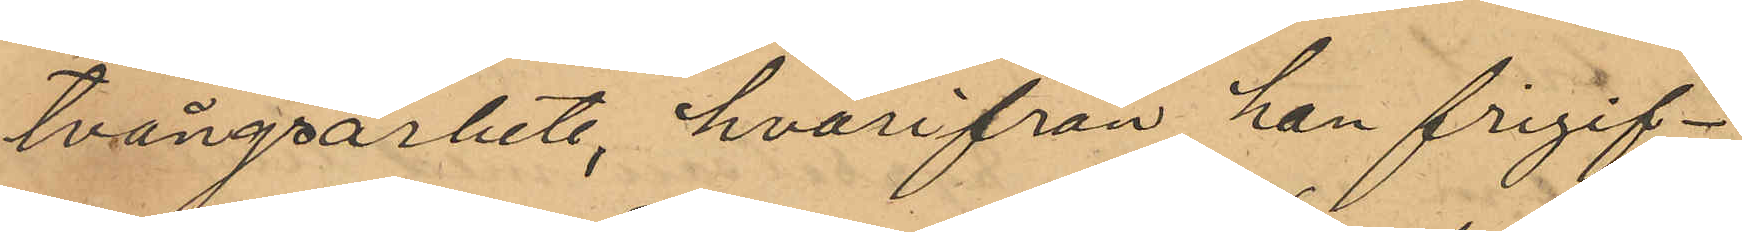tvångsarbete, hvarifrån han frigif¬
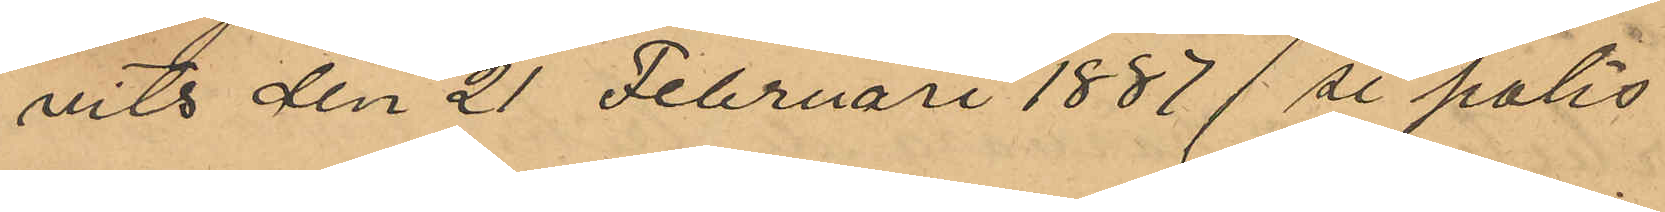vits den 21 Februari 1887 (se polis¬
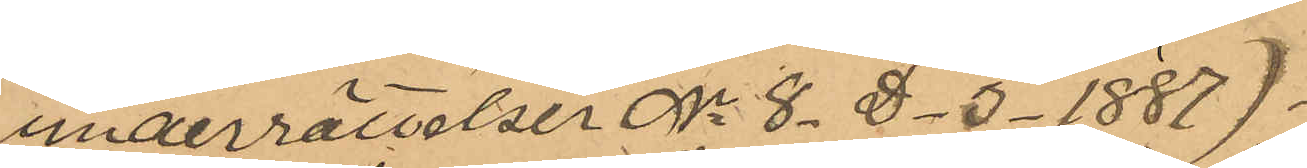underrättelser Nr 8. D. 3. 1887).
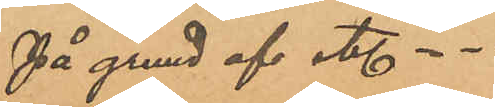På grund af etc...
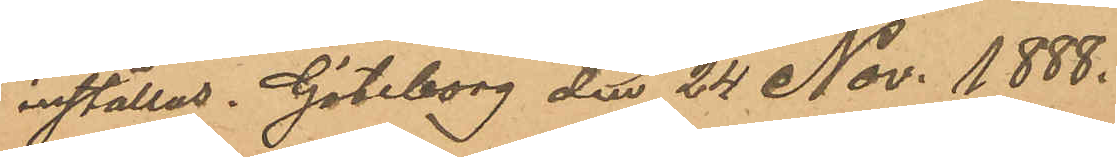inställas. Göteborg den 24 Nov. 1888.
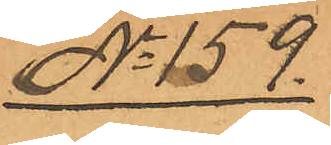No 159
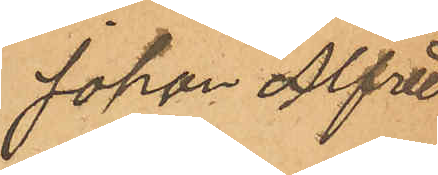Johan Alfred
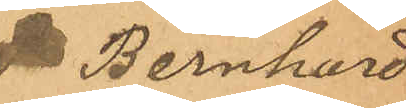Bernhard
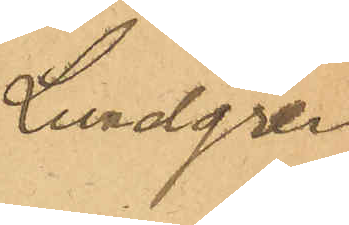Lundgren
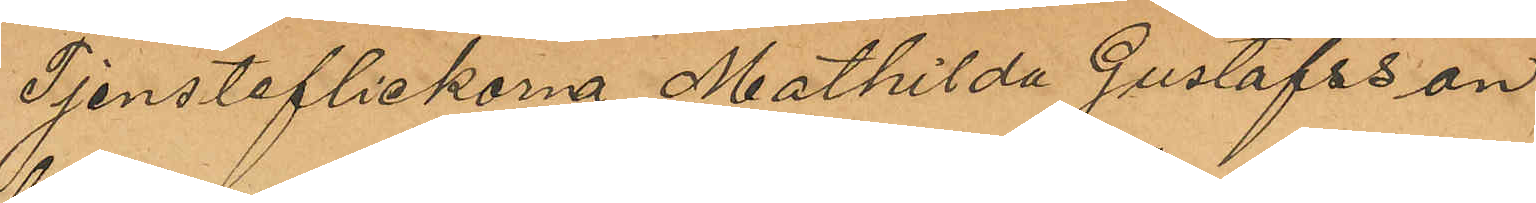Tjensteflickorna Mathilda Gustafsson,
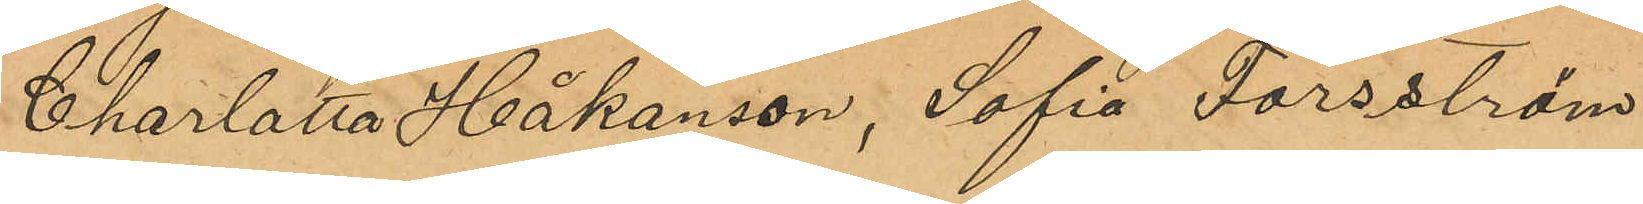Charlotta Håkansson, Sofia Forsström,
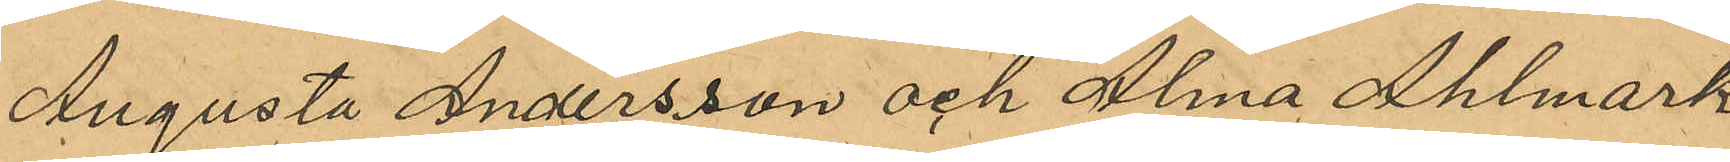Augusta Andersson och Alma Ahlmark
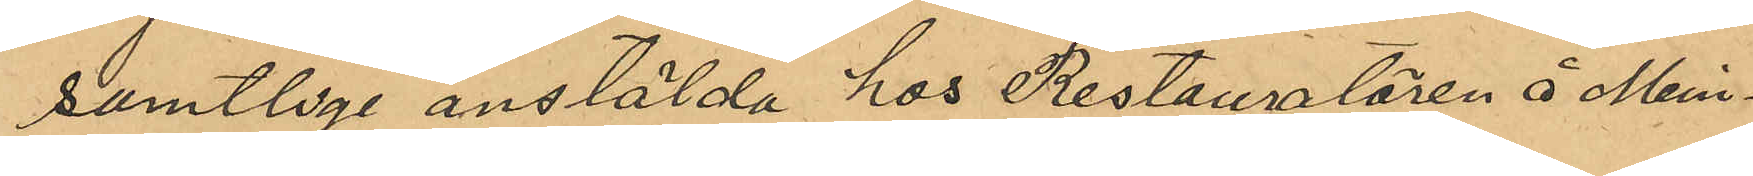samtliga anställda hos Restauratören å Min¬
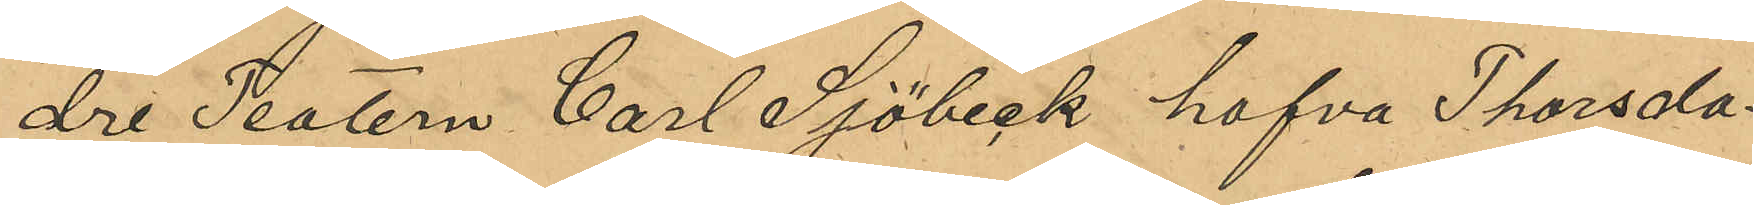dre Teatern Carl Sjöbeck hafva Thorsda¬
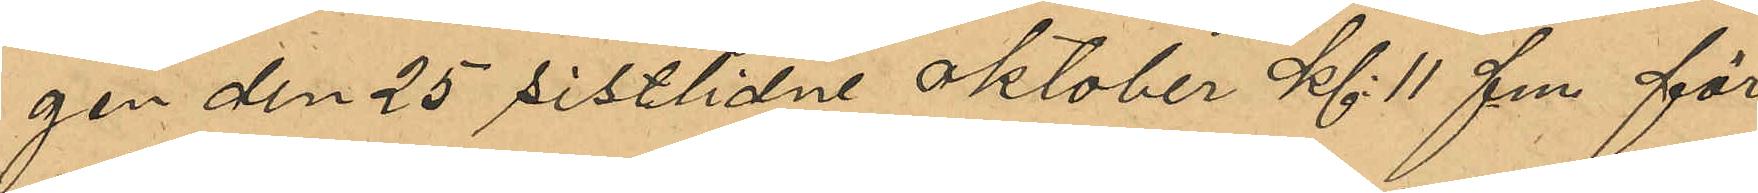gen den 25 sistlidne oktober Kl 11 fm för
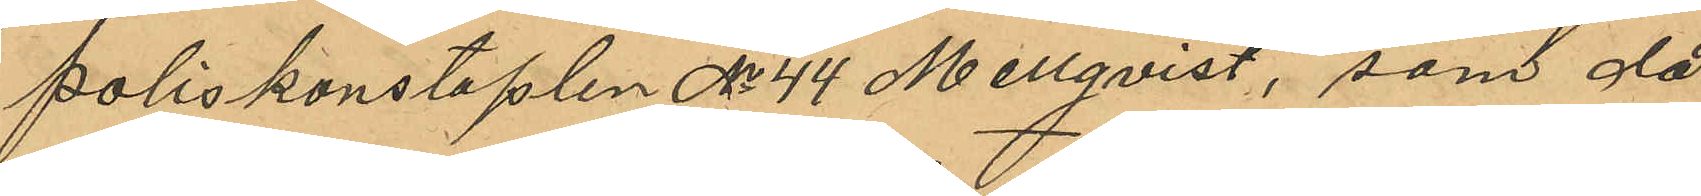poliskonstaplen No 44 Mellqvist, som då
